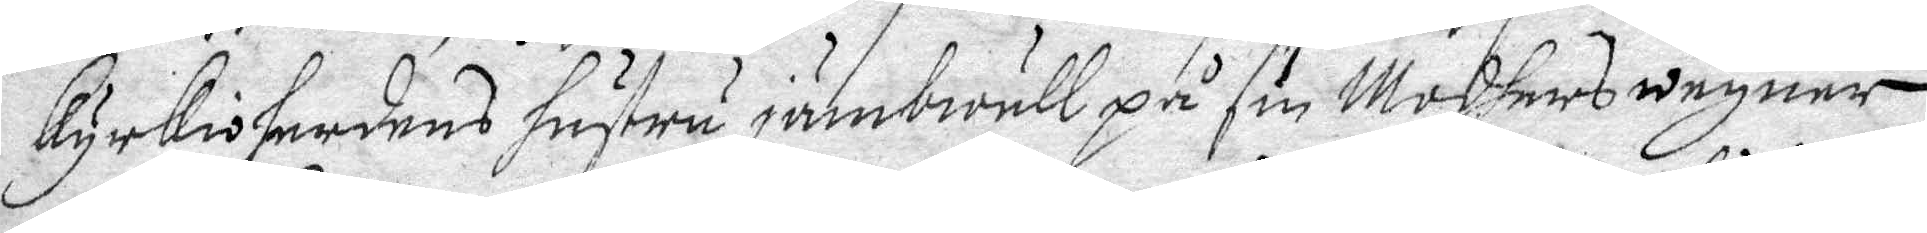kyrkioherdens hustru jämbwäll på sin Modhers wegner
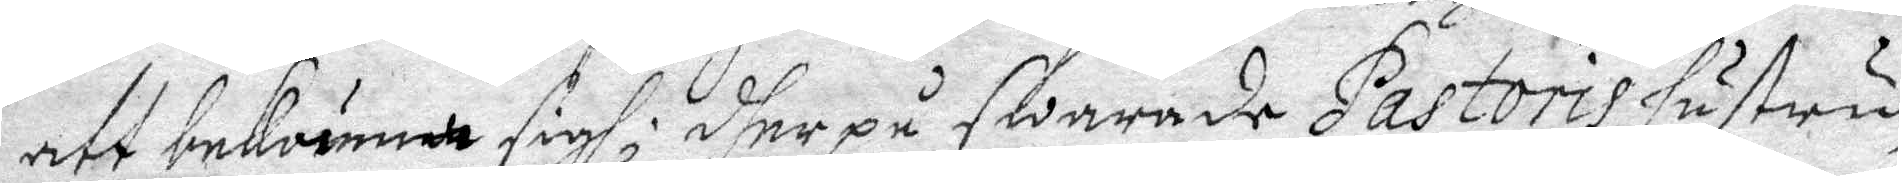att bekänna sigh; dher på swarade Pastoris hustru,
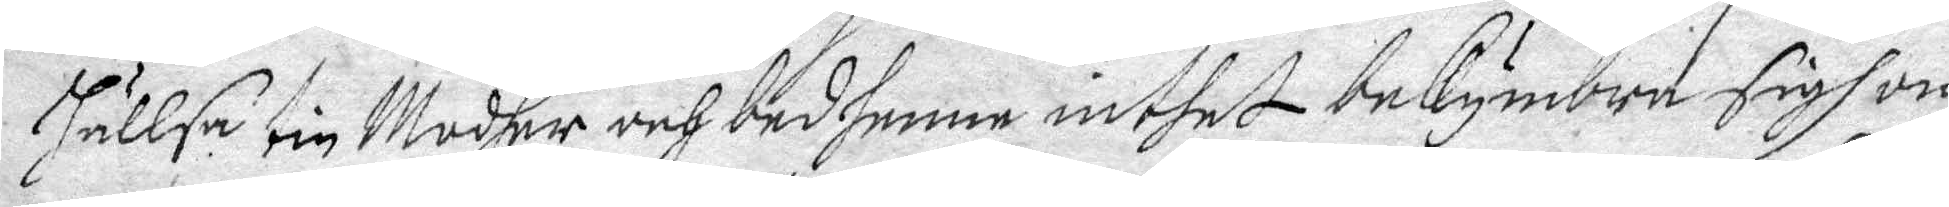Hällsa tin Modher och bed henne inthet bekymbra sigh om
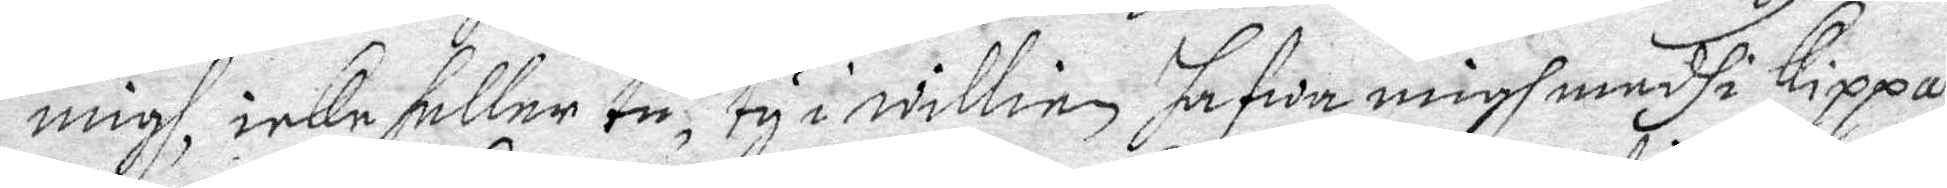migh, icke heller tu, ty i willien hafwa migh medh i Kippan
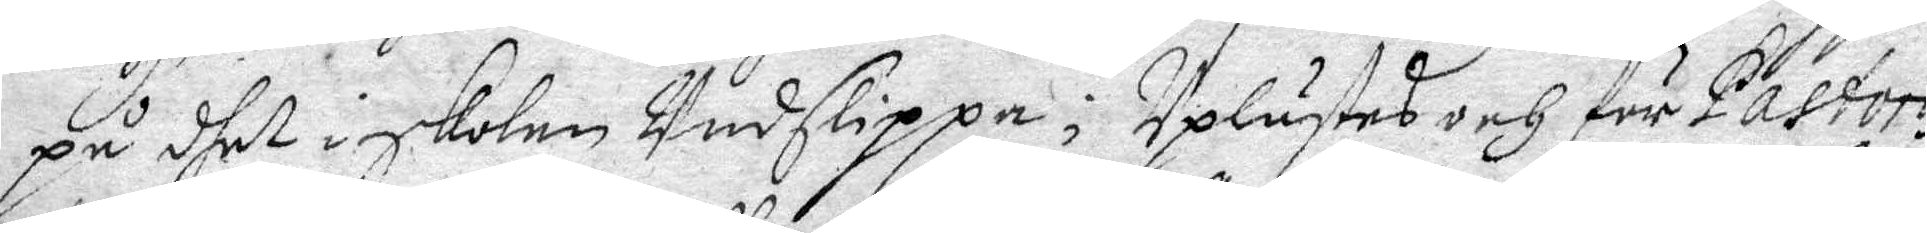på dhet i skolen Undslippa; Uplästes och för Pastoris
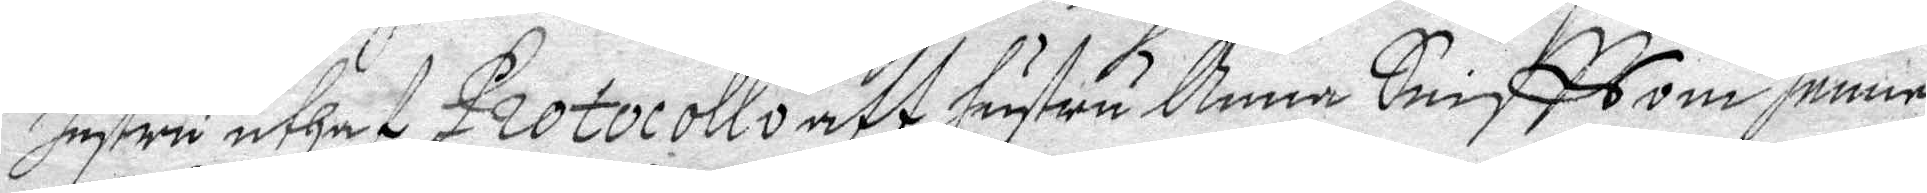hustru uthaf Protocollo att hustru Anna Sniffs om henne
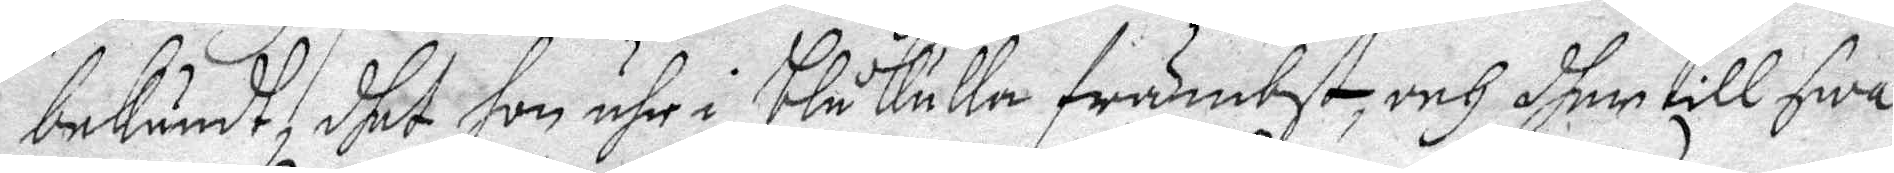bekändt, dhet hon ähr i Blåkulla främbst, och dher till swa¬
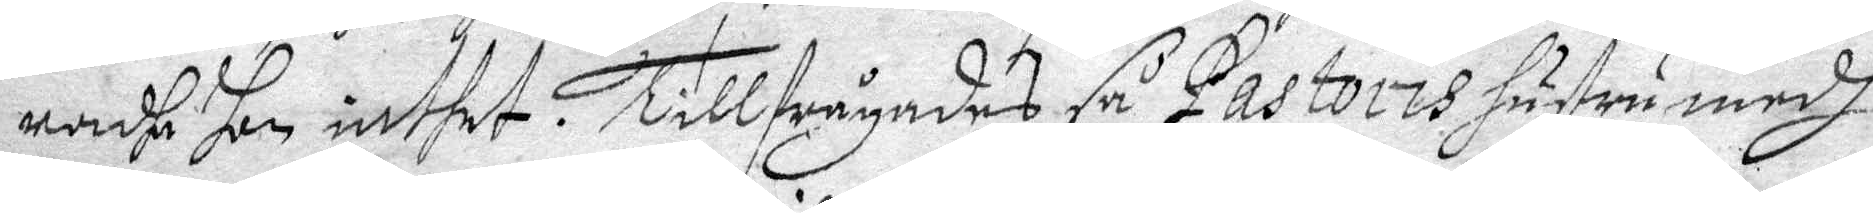radhe hon inthet.  Tillfrågades så Pastoris hustru medh
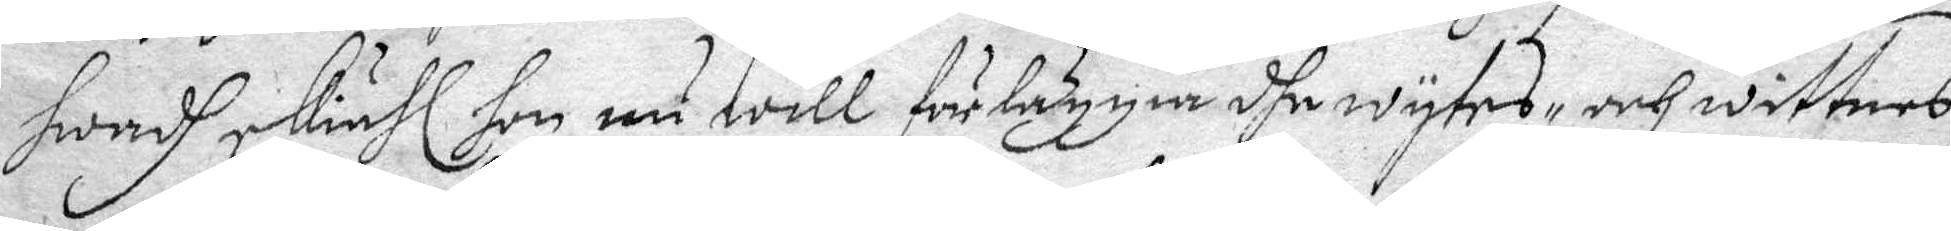Hwadh skiähl hon nu will förläggia dhe wytes, och wittnes¬
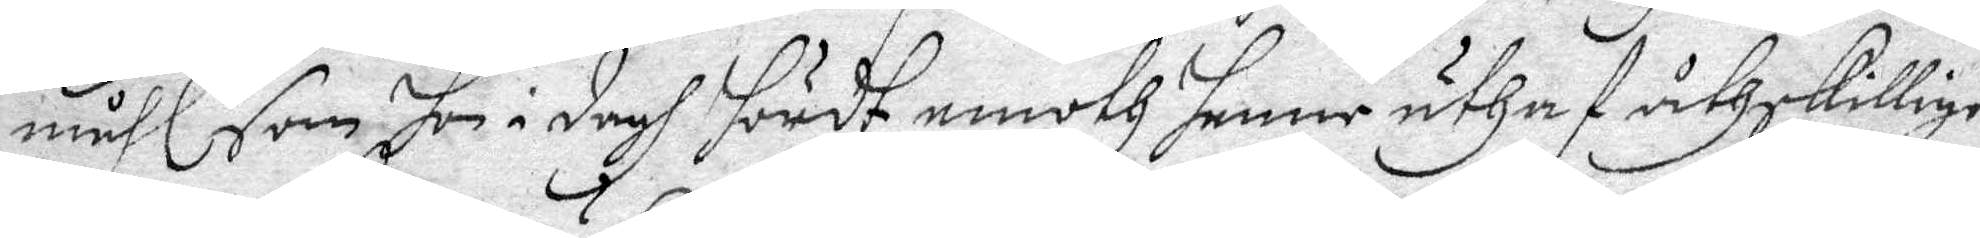måhl, som hon i dagh hördt emoth henne uthaf åthskillige
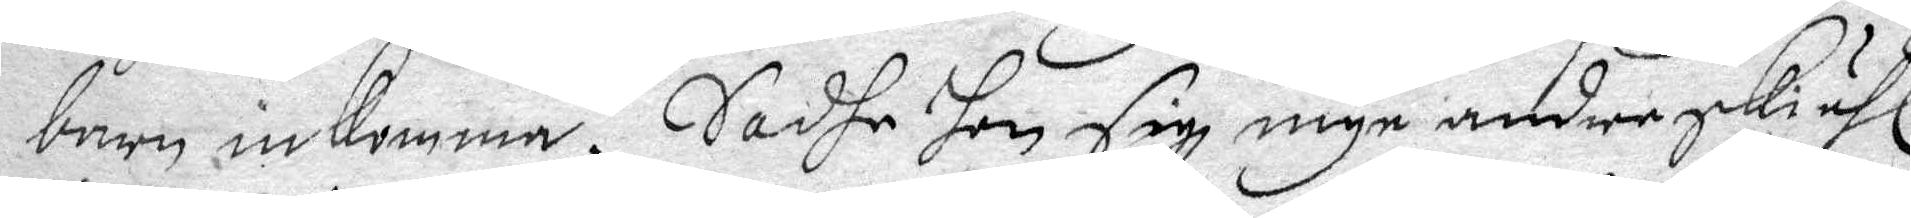barn inkomma? Sadhe hon sig inge andre skiähl
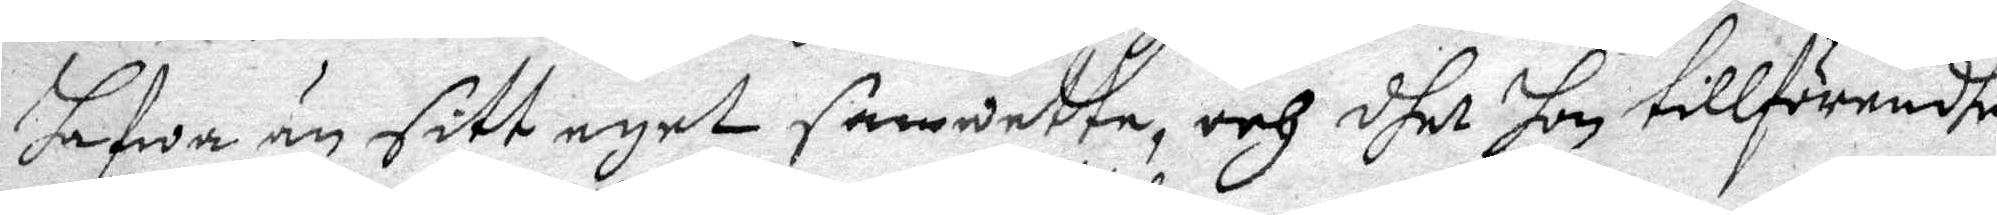hafwa än sitt eget samwette, och dhet hon tillförendhe
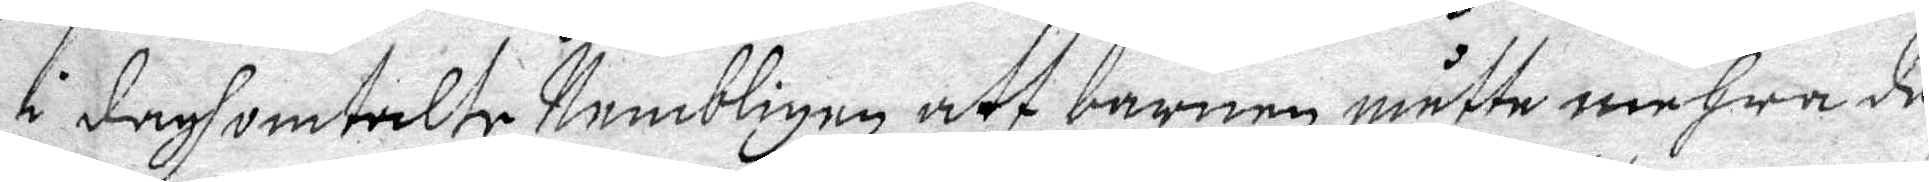i dagh omtalte Nembligen att barnen måtte mehra de¬
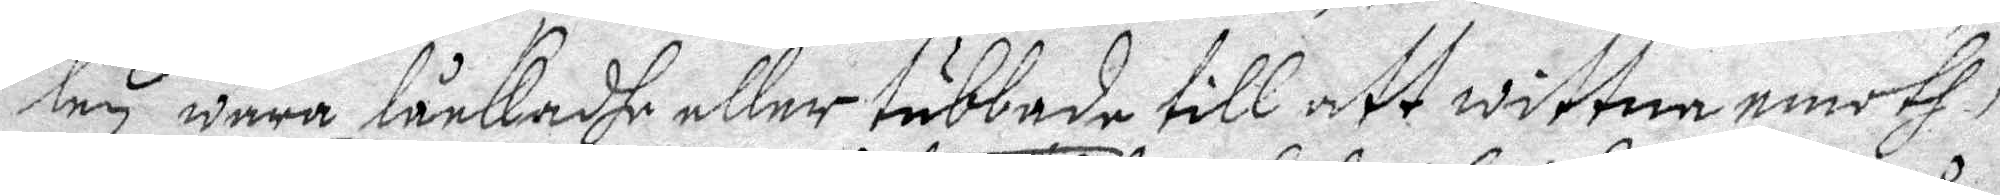len wara låckadhe eller tubbade till att wittna emoth
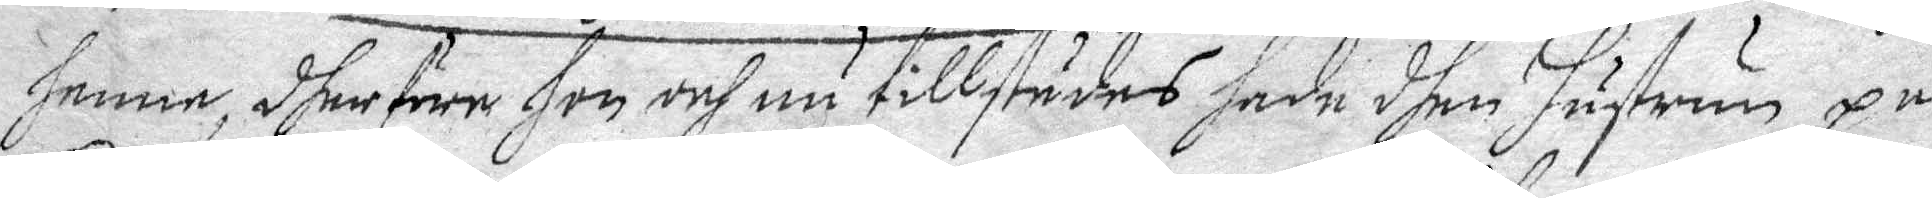henne, dherföre hon och nu tillstädes hade dhen hustrun på
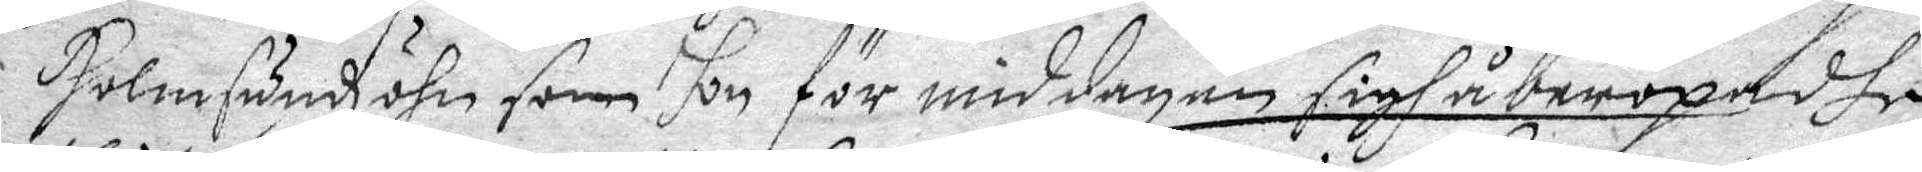Holmsundh öhn som hon för middagen sigh åberopadhe
